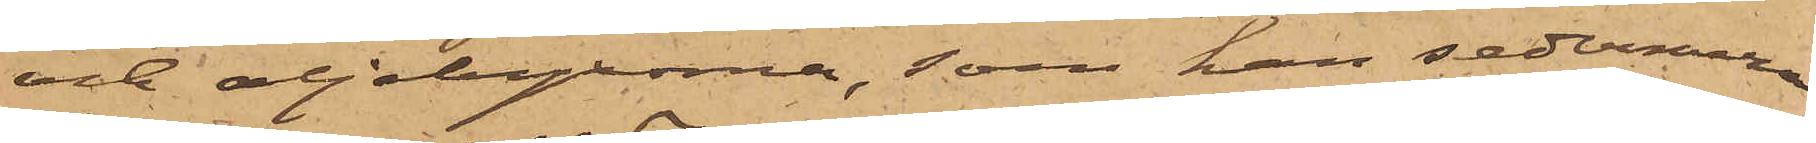och oljebyxorna, som han sedermera
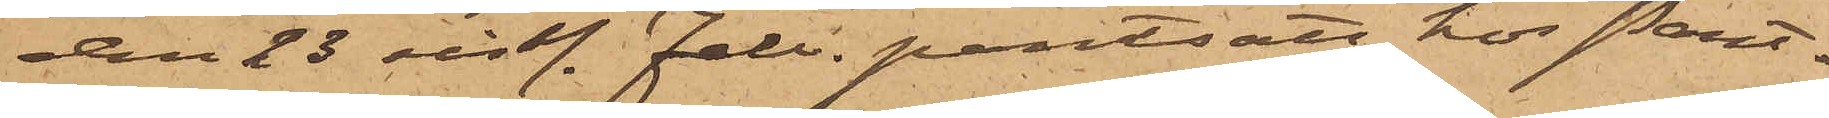den 23 sistl. Febr. pantsatt hos Pant¬
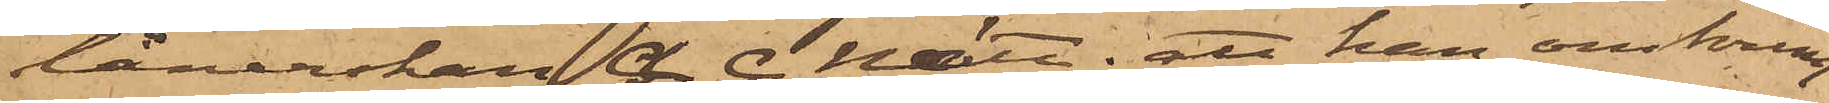lånerskan A. C. Nätt; att han omkring
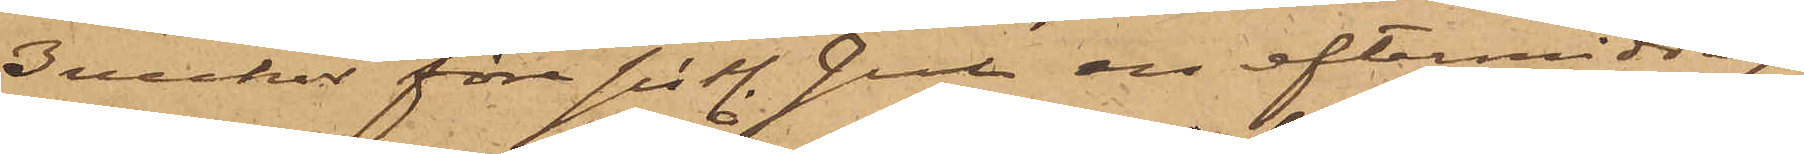3 veckor före sistl. Jul en eftermiddag,
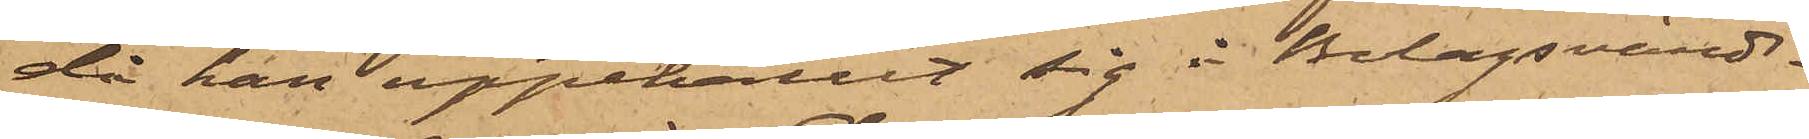då han uppehållit sig i Bolagsvärds¬
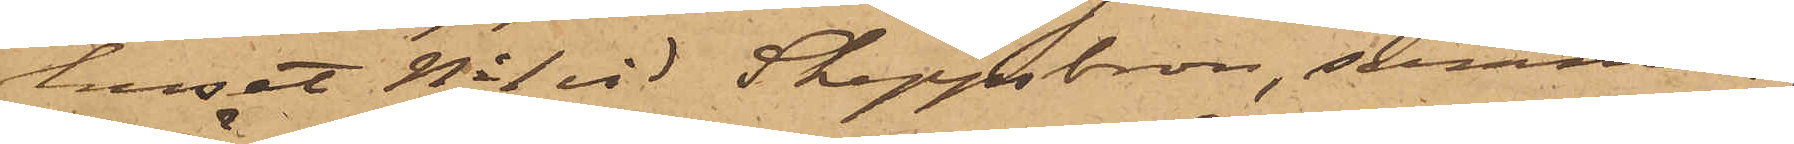huset No 1 vid Skeppsbron, samman¬
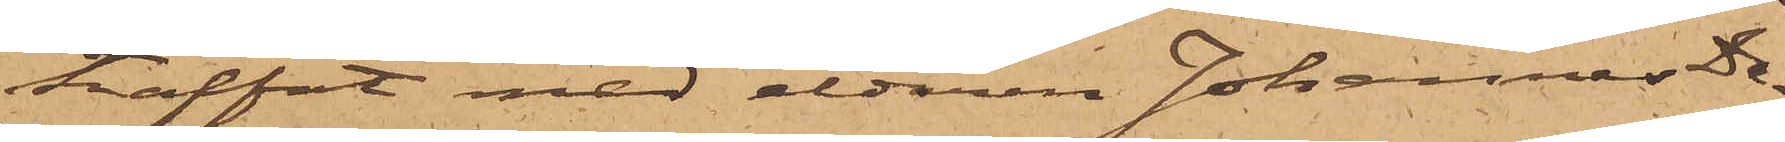träffat med eldaren Johannes Da¬
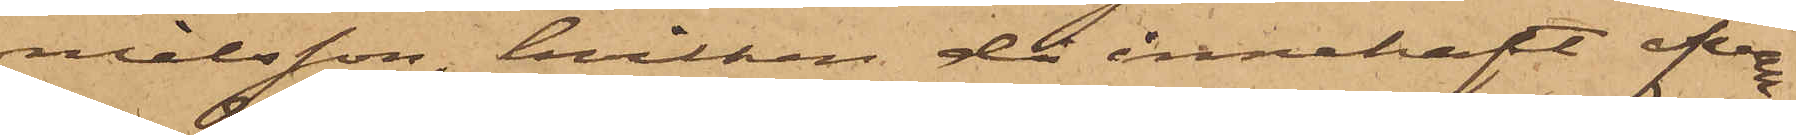nielsson, hvilken då innehaft ofvan¬
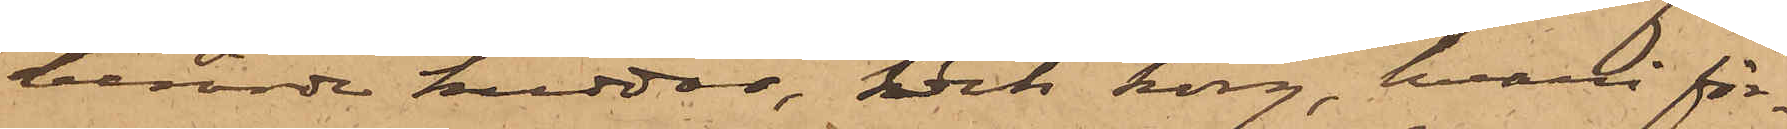berörde kuddar, och korg, hvari för¬
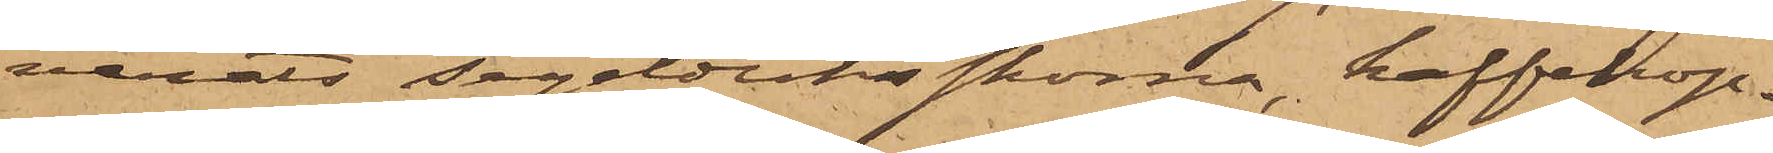varats segelduksskorna, kaffekop¬
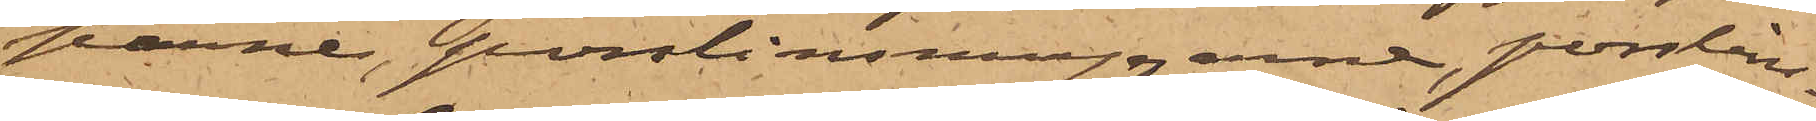parne, porslinsmuggarna, porslins¬
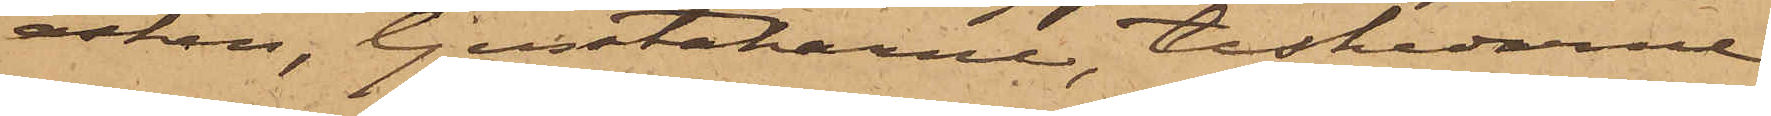asken, ljusstakarne, teskedarne
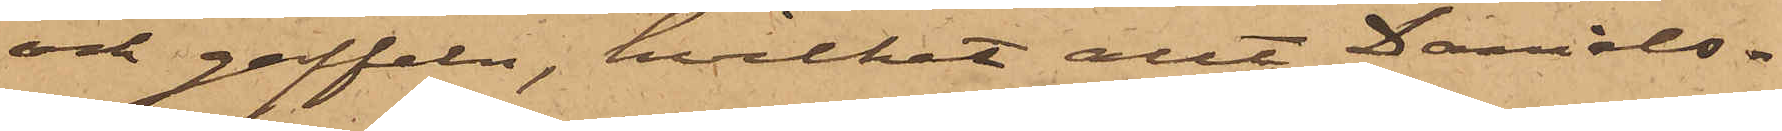och gaffeln, hvilket allt Daniels¬
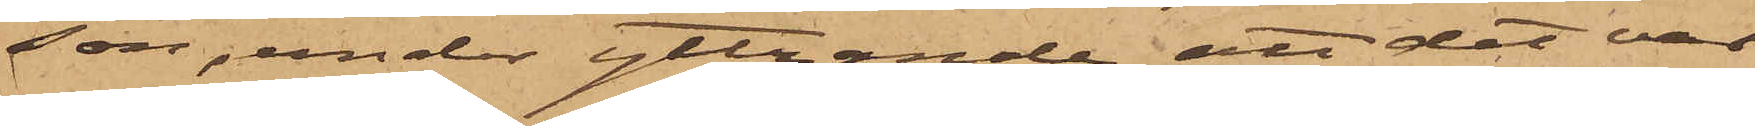son, under yttrande "att det var
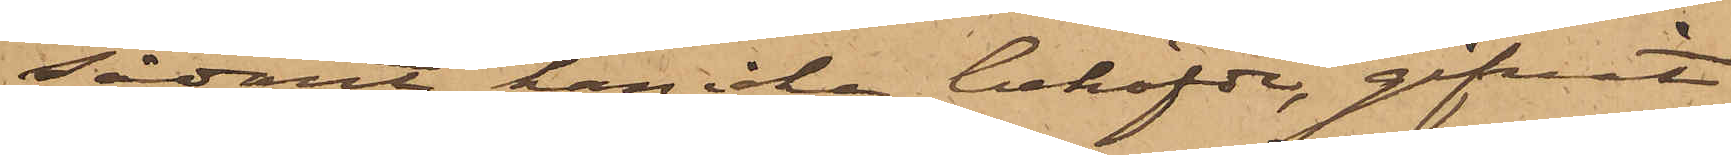sådant han icke behöfde", gifvit
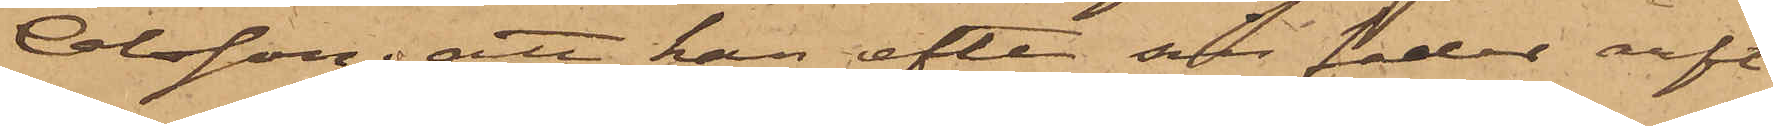Olsson; att han efter sin fader haft
